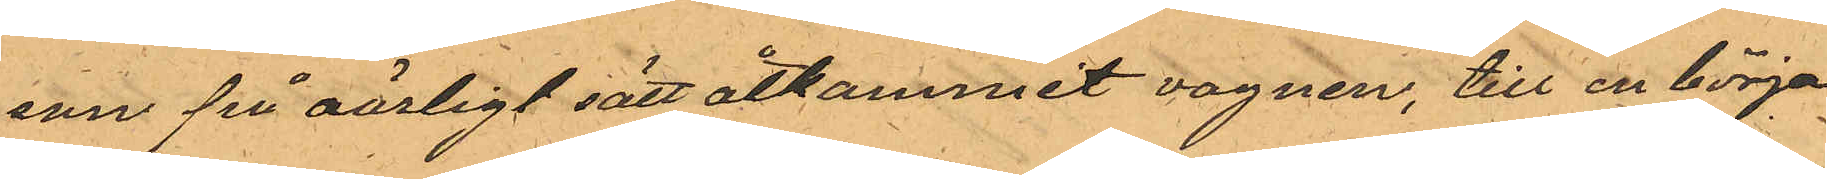son på oärligt sätt åtkommit vagnen, till en början
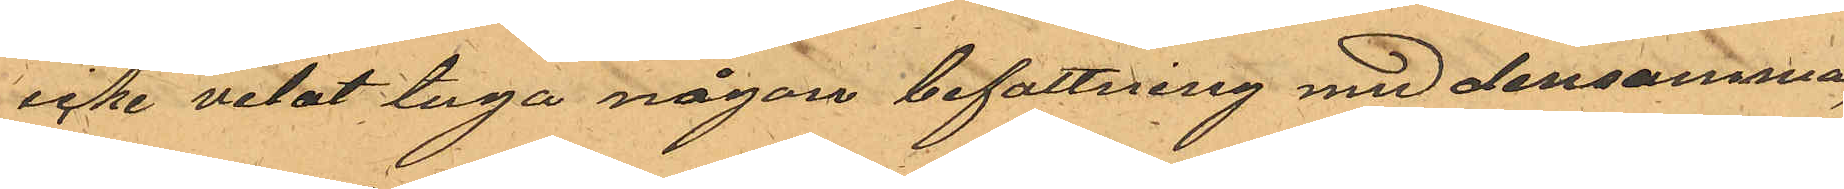icke vetat taga någon befattning med densamma,
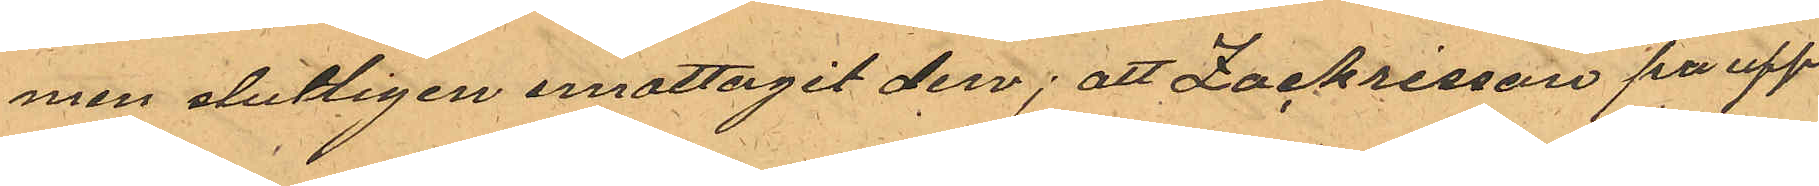men slutligen emottagit den; att Zachrisson pa upp¬
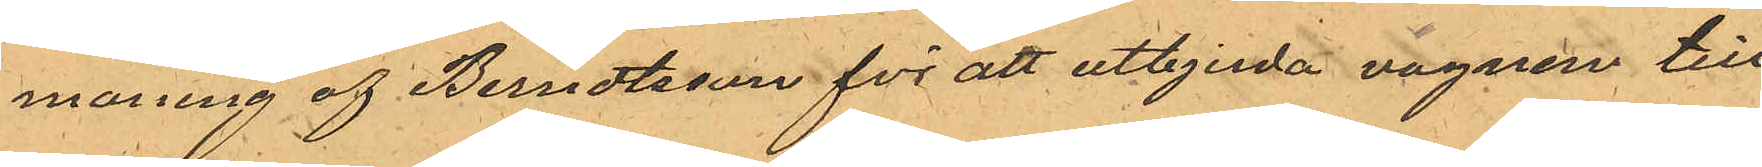maning af Berndtsson för att utbjuda vagnen till
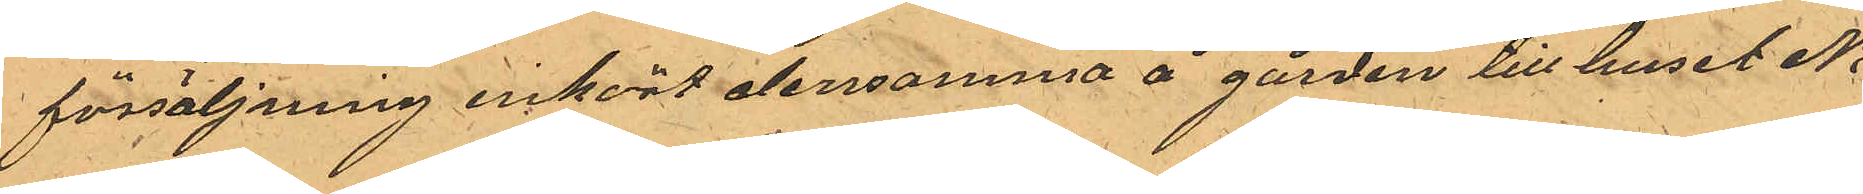försäljning inhört densamma å gården till huset No
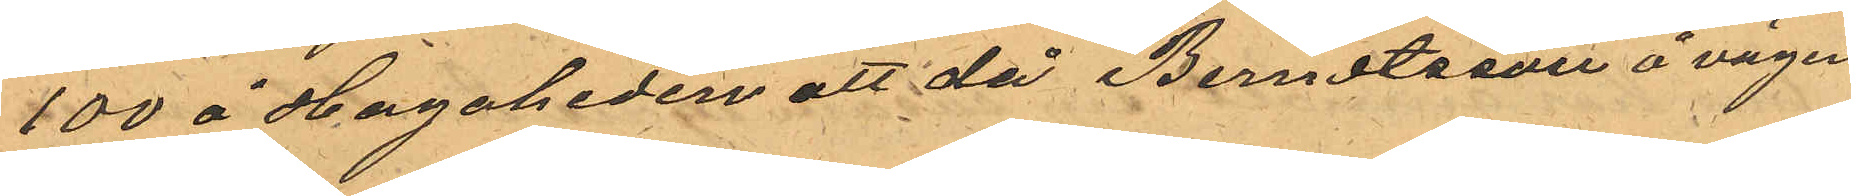100 å Hagaheden att då Berndtsson å vägen
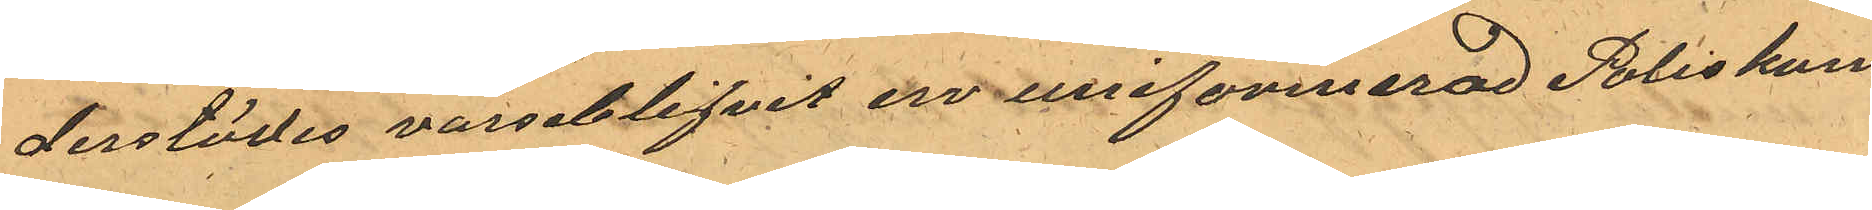derstädes varseblifvit en uniformerad Poliskon¬
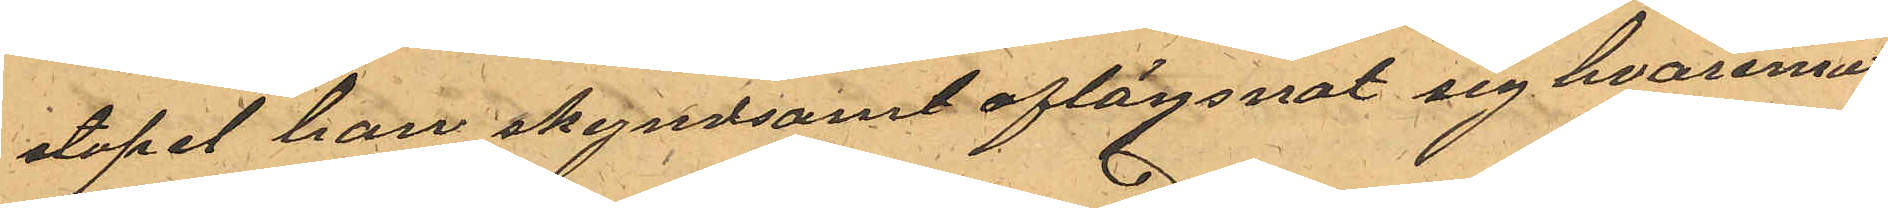stapel han skyndsamt aflägsnat sig hvaremot
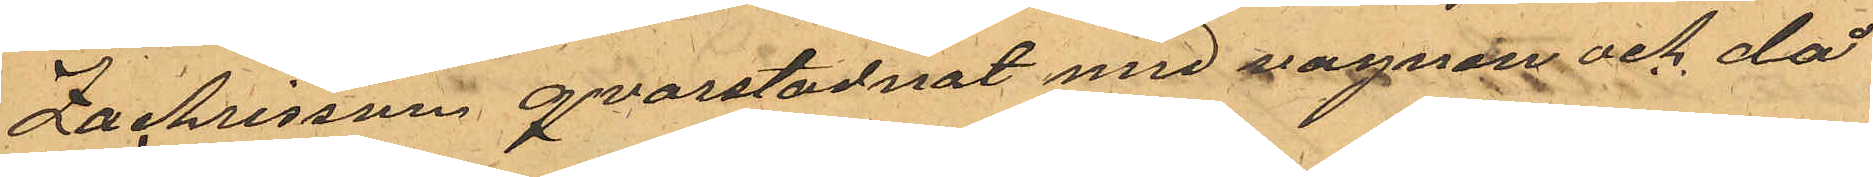Zachrisson qvarstadnat med vagnen och då
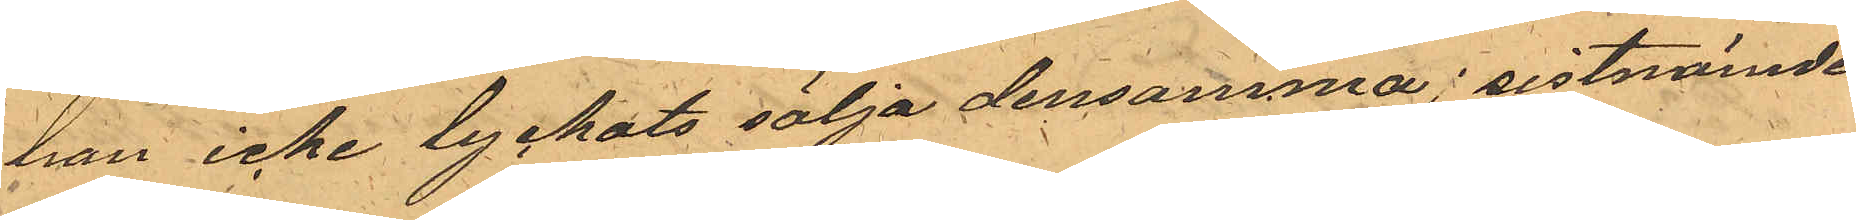han icke lyckats sälja densamma i sistnämde
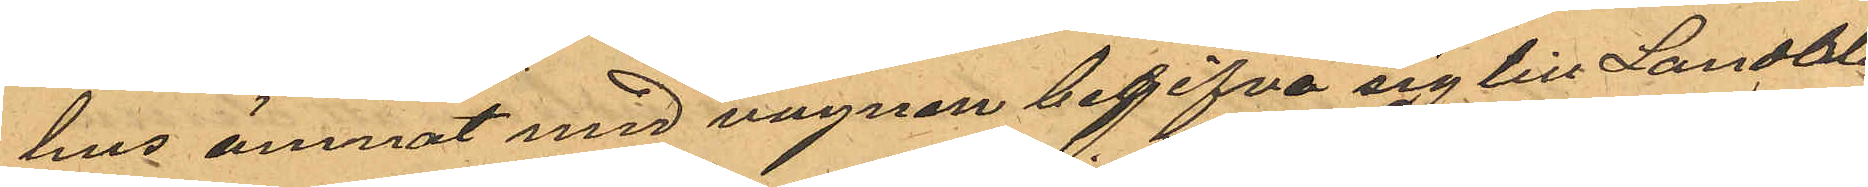hus ämnat med vagnen begifva sig till Landala
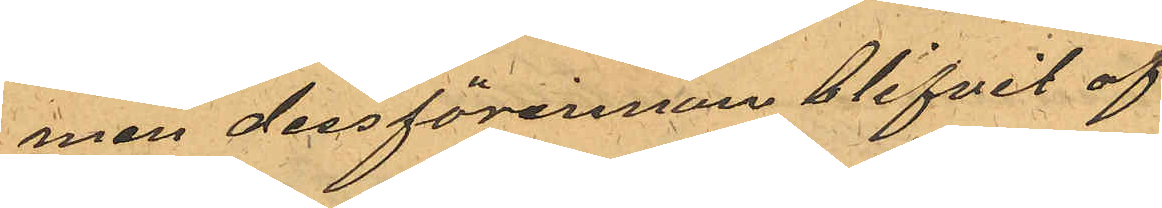men dessförinnan blifvit af
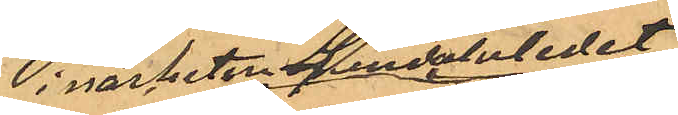i närheten Landalaledet
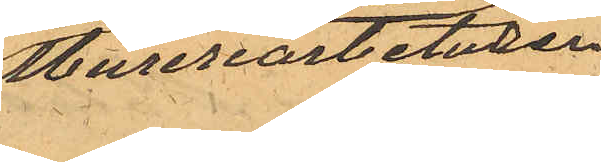Mureriarbetaren
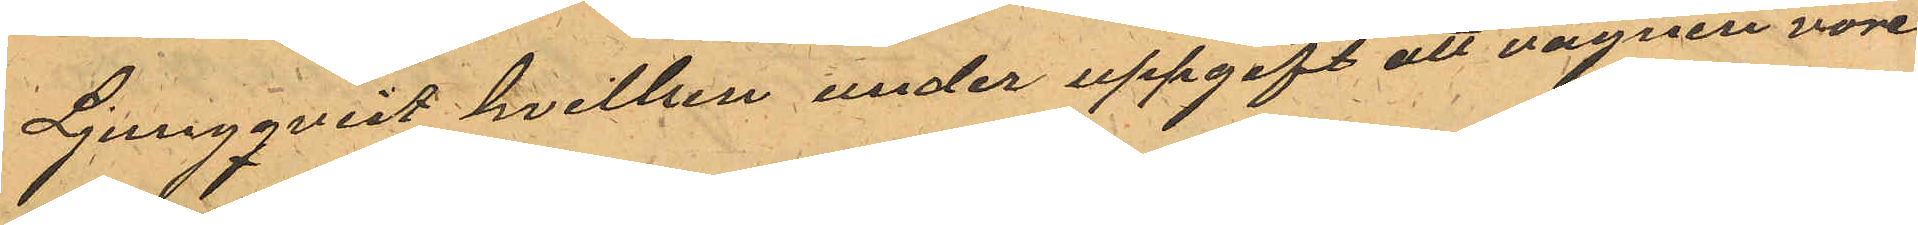Ljungqvist hvilken under uppgift att vagnen vore
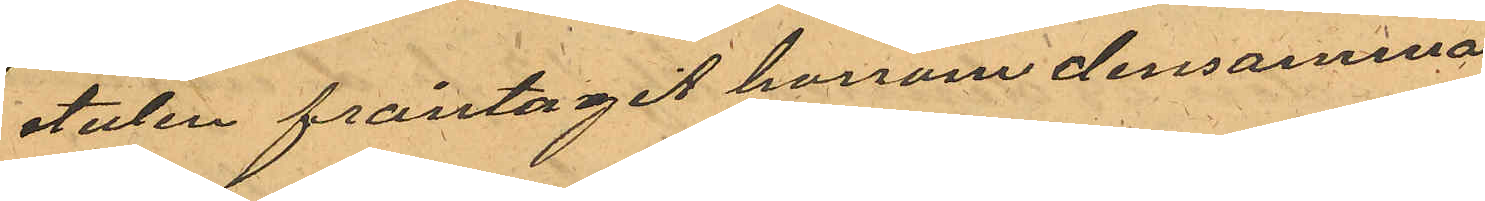stulen fråntagit honom densamma.
